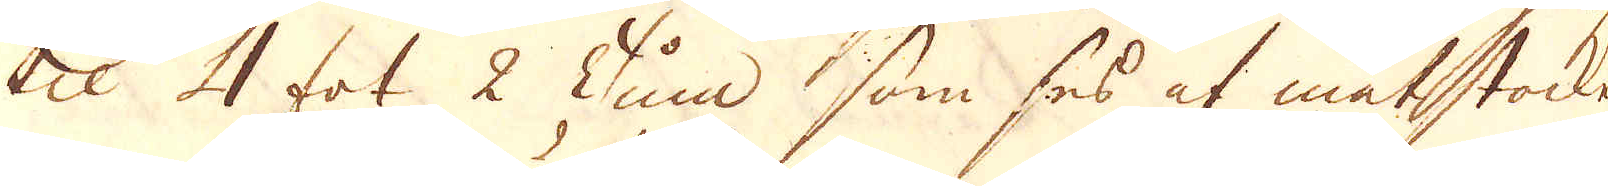til 4 fot 2 Tum som ses af måtstocken
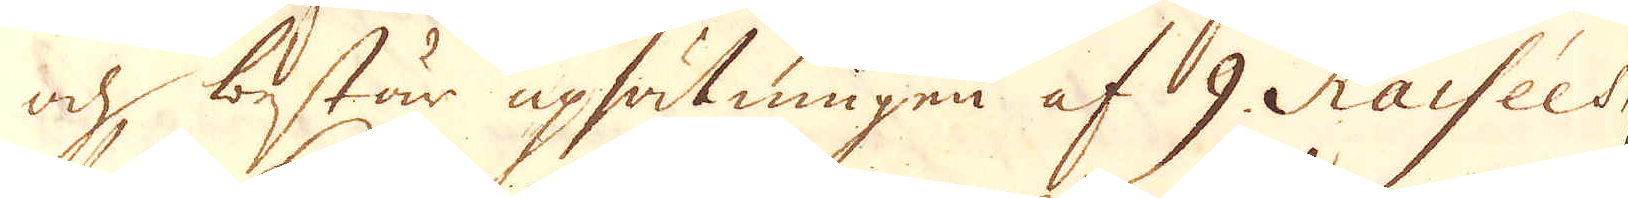och består upsätningen af 9 Raisées
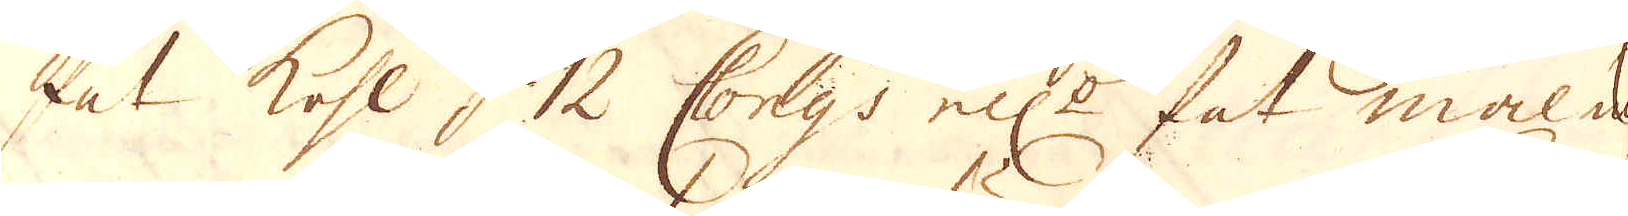fat kohl, 12 Congs ell:r fat malm
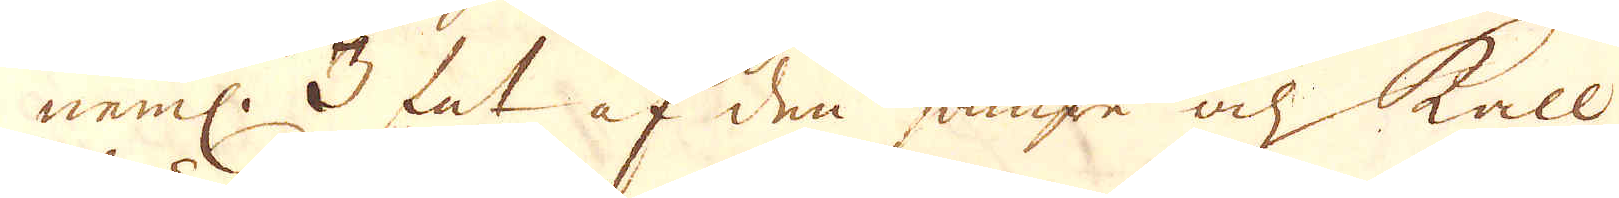neml: 3 fat af den sämre och kall-
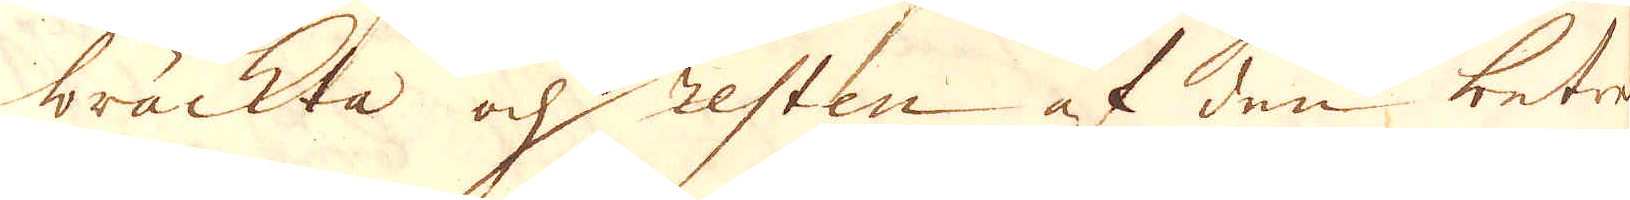bräckta och resten af den betre
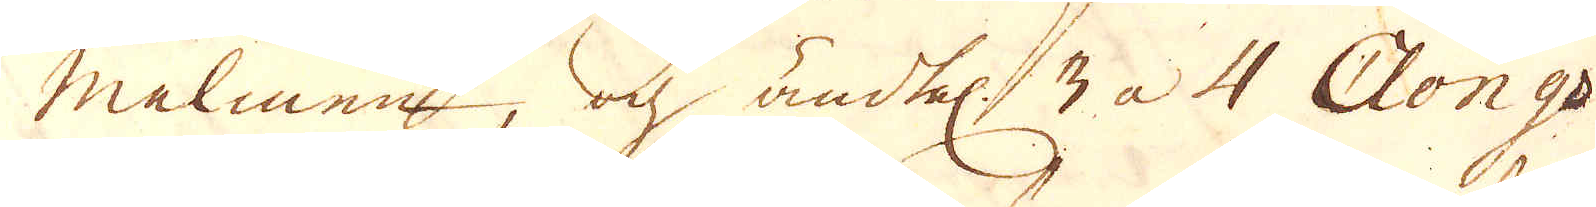malmen, och ändtel 3 à 4 Clongs
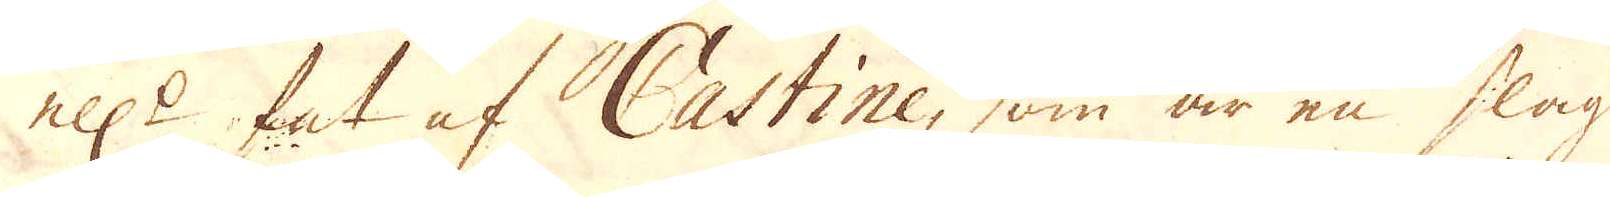ell:r fat af Castine, som är en slags
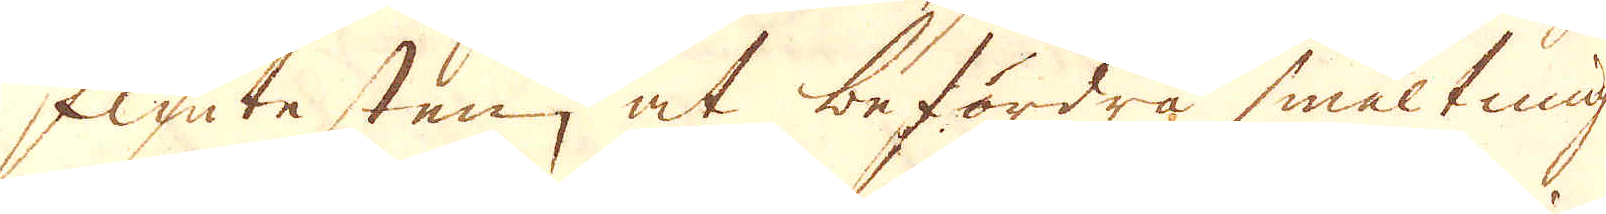flinte sten, at befordra smältningen.
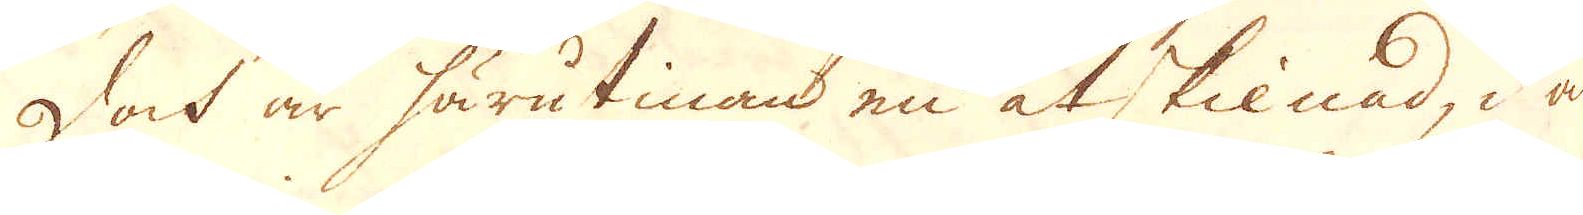Doch är härutinan en åtskilnad, i an-
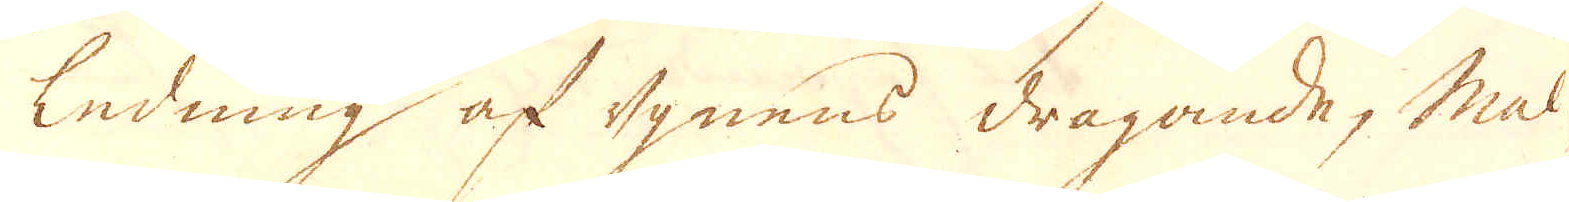ledning af ugnens dragande, mal-
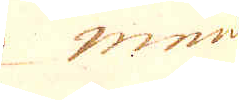mens
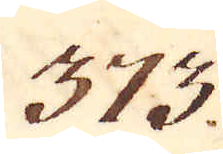373.
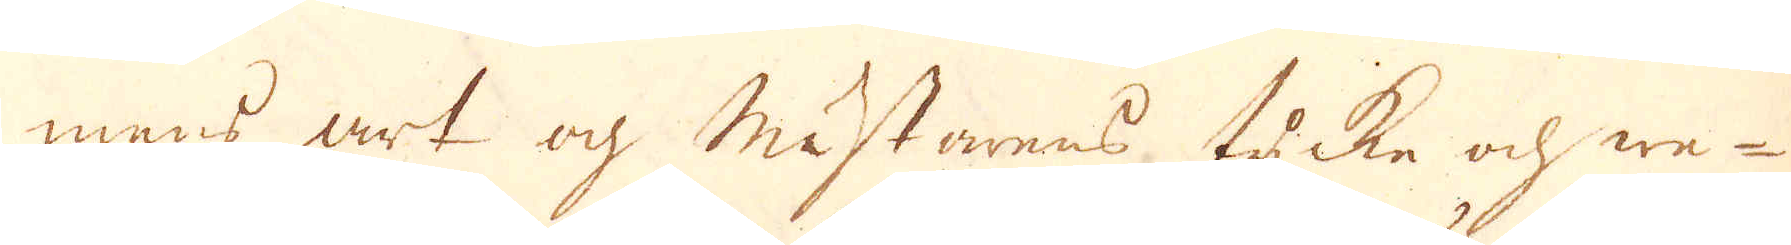mens art och mästarens tycke och we-
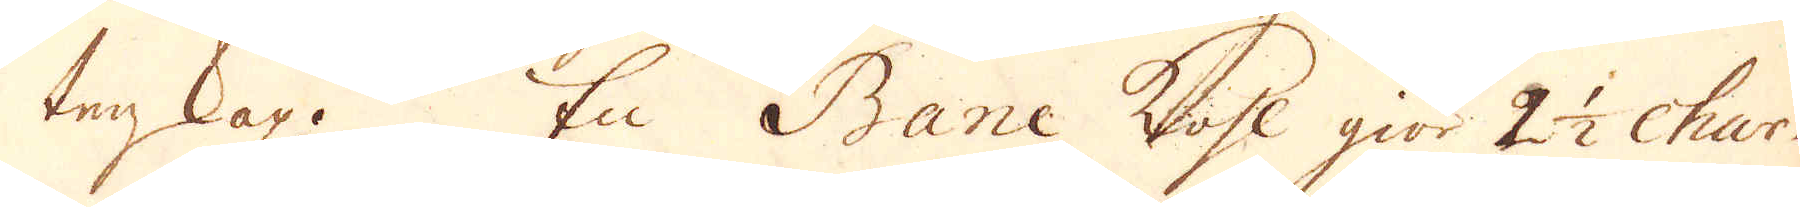tenskap. En Banc kohl giör 2 1/2 Char-
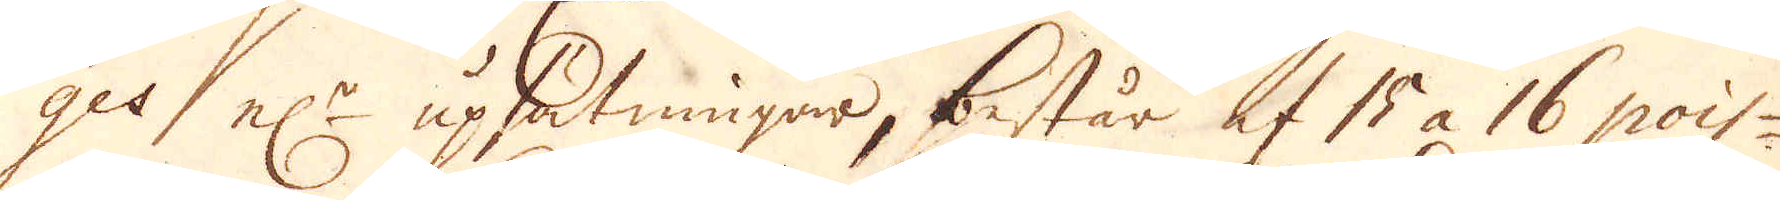ges, el:r uphätningar, består af 15 à 16 pois-
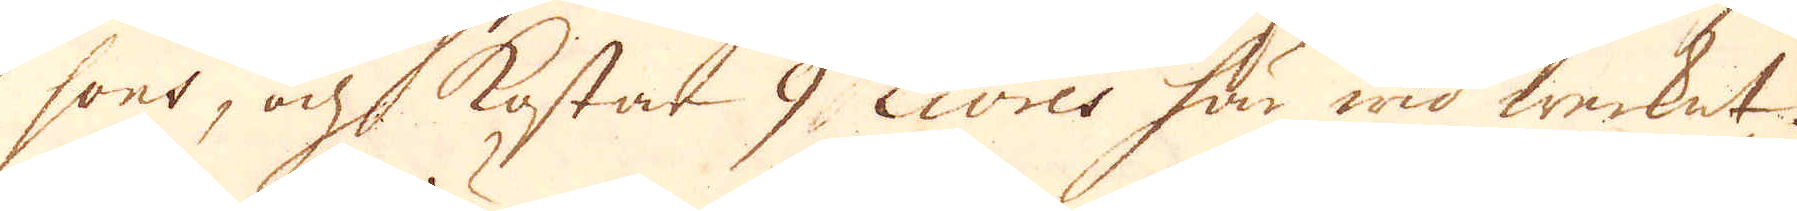sons, och kostar 9 Livres här wid werket.
